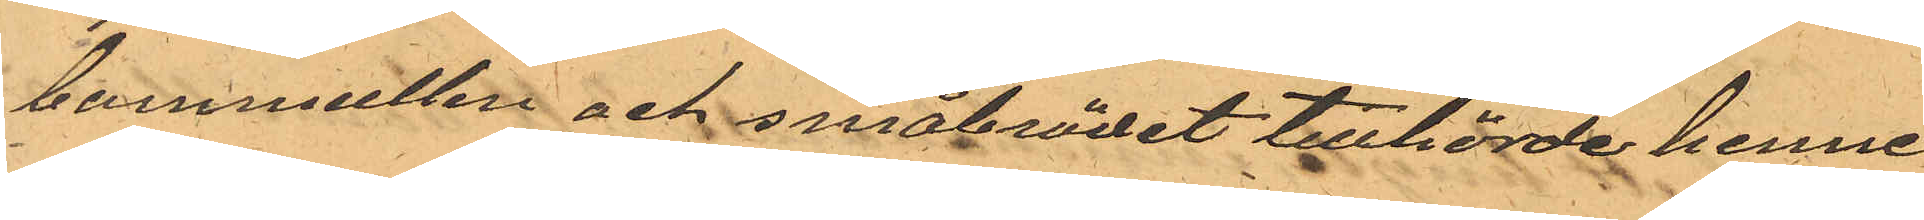bommullen och småbrödet tillhörde henne
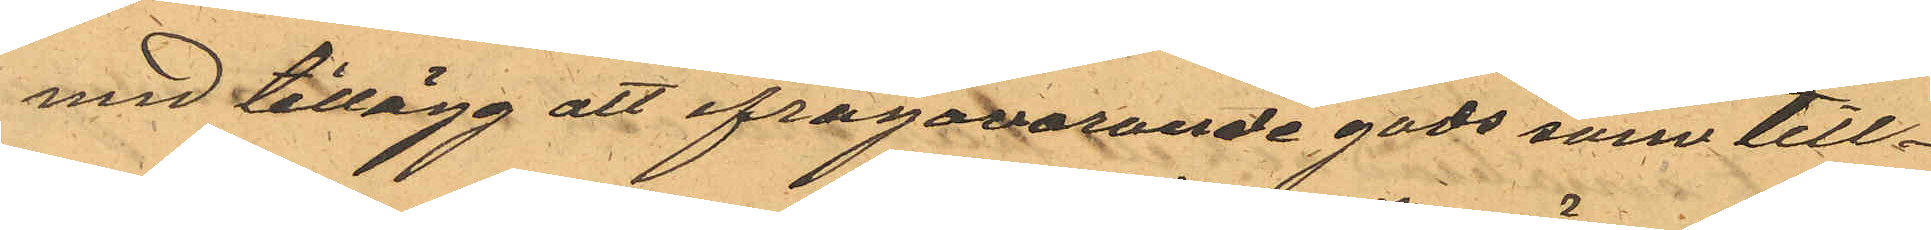med tillägg att ifragavarande gods som till¬
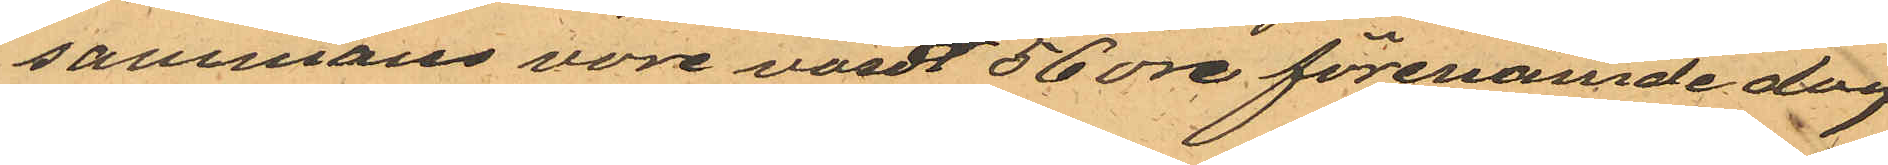sammans vore värdt 56 öre förenämde dag
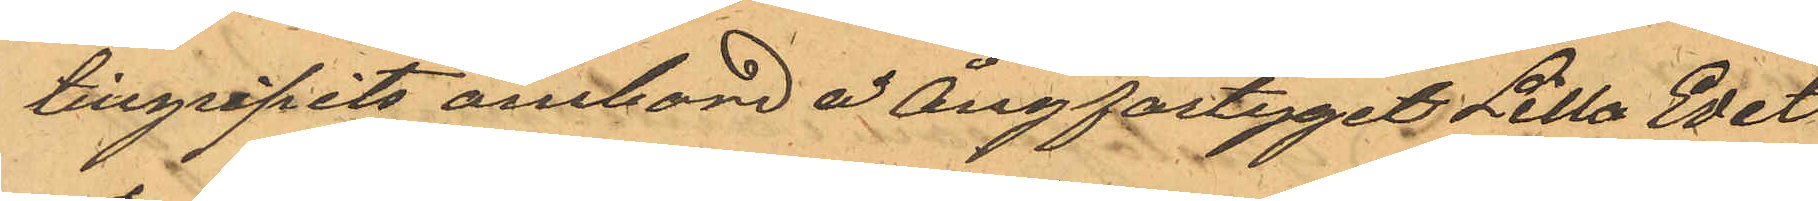tillgripits ombord å Ångfartyget Lilla Edet
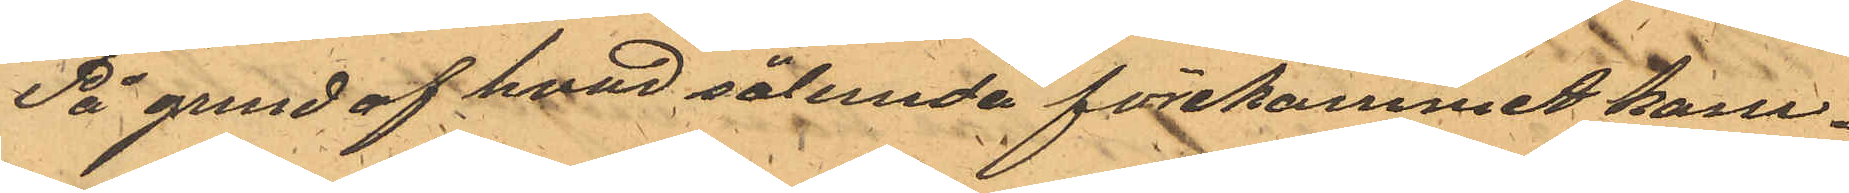På grund af hvad sålunda förekommit kom¬
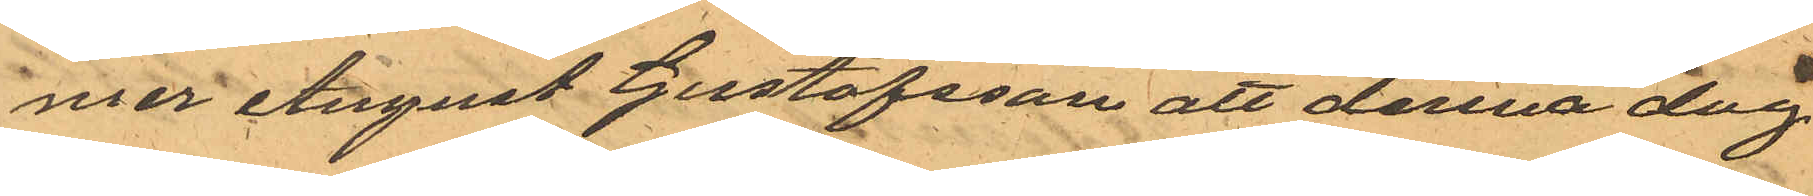mer August Gustafsson att denna dag
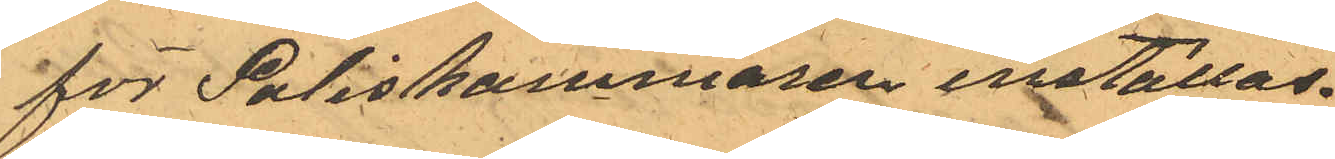för Poliskammaren inställas.
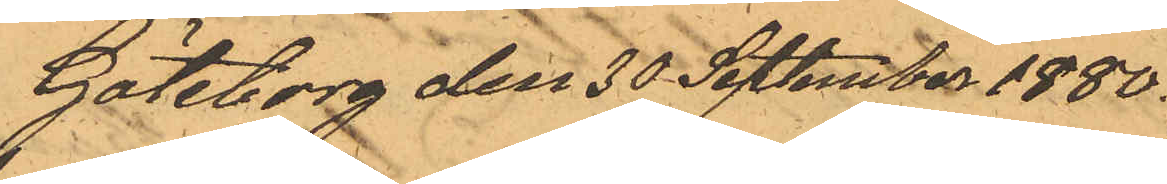Göteborg den 30 September 1880.
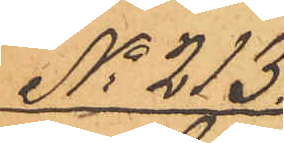No 213.
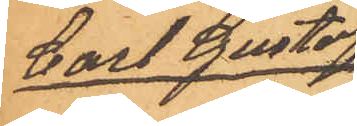Carl Gustaf
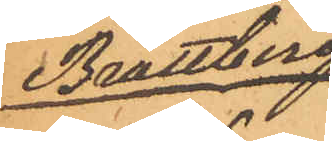Brattberg
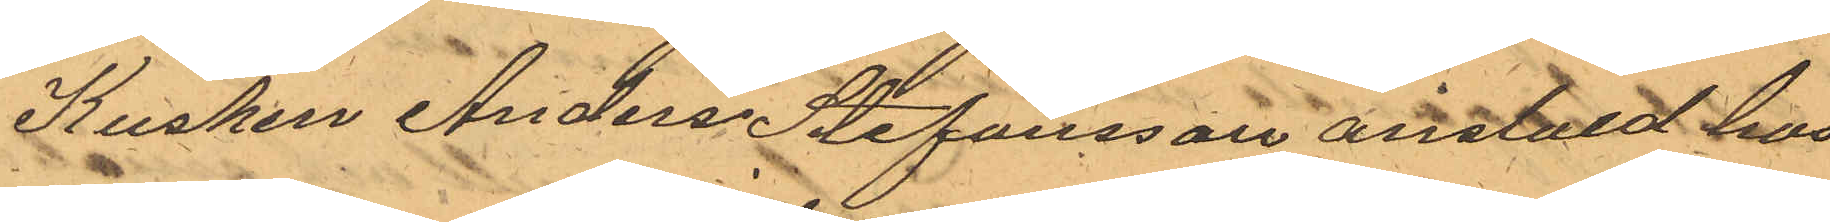Kusken Anders Stefansson anstald hos
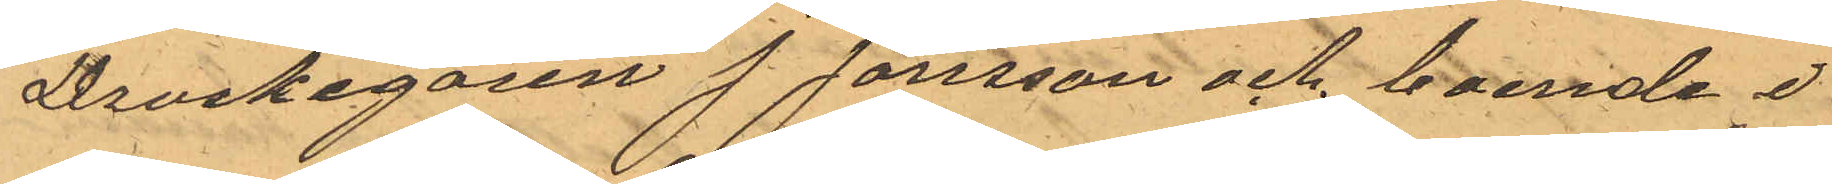Droskegaren J. Jonsson och boende i
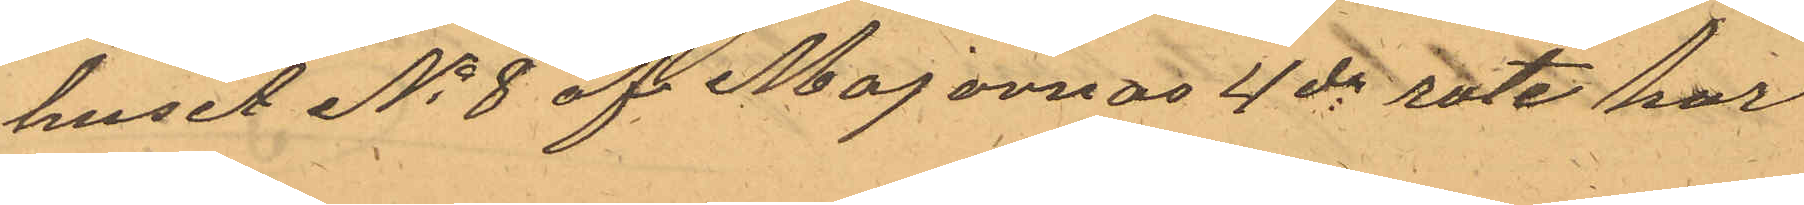huset No 8 af Majornas 4de rote har
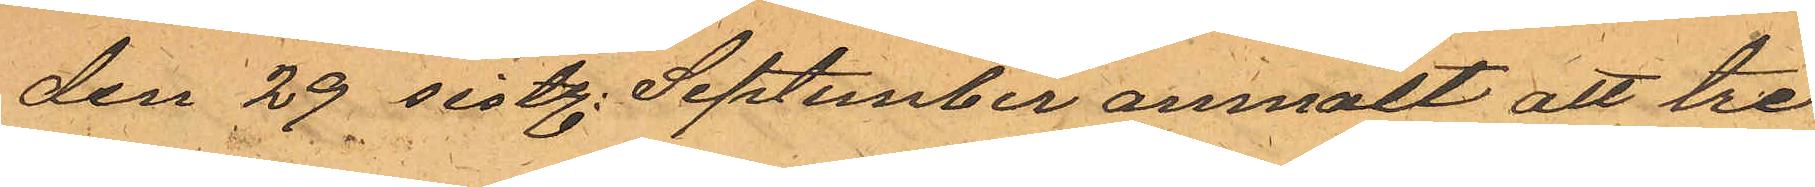den 29 sistl. September anmält att tre
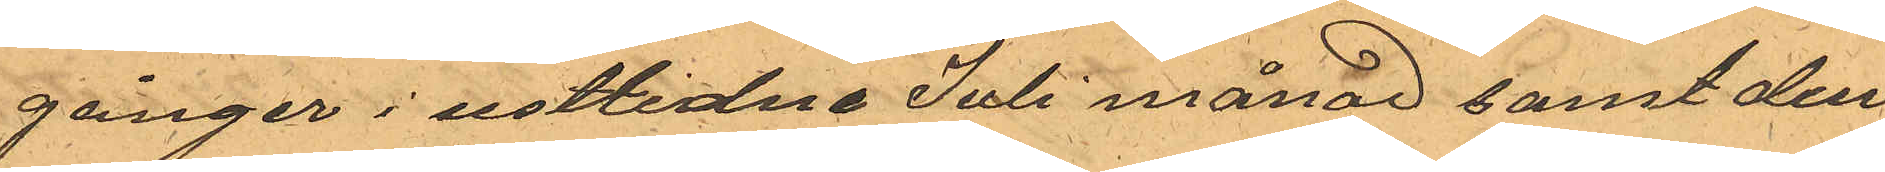gånger i sistlidne Juli månad samt den
